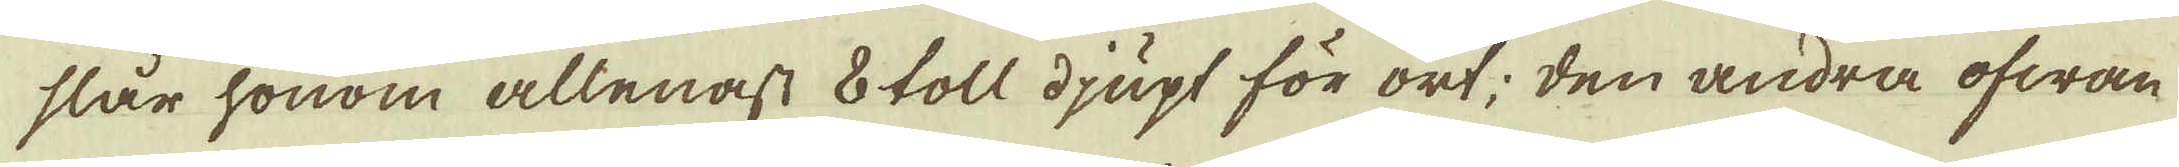slår honom allenast 8 toll djupt för ort; den andra ofwan
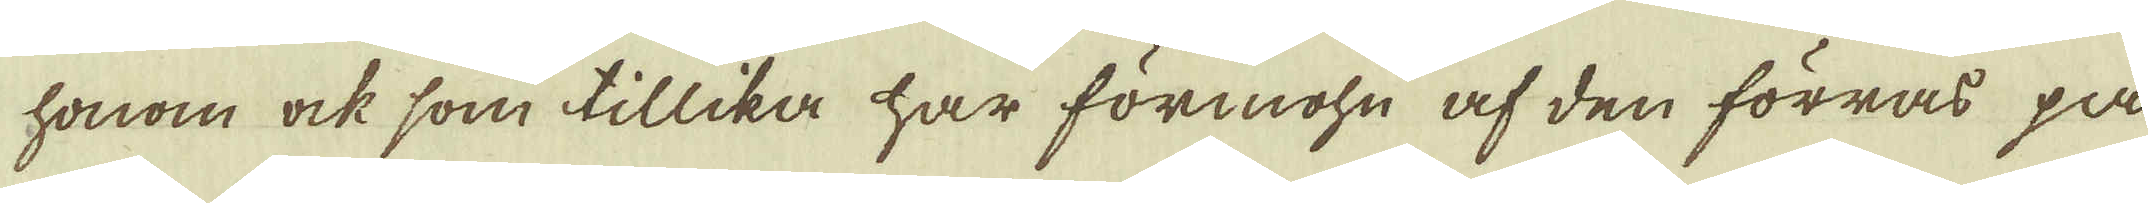honom ock som tillika har förmohn af den förras på
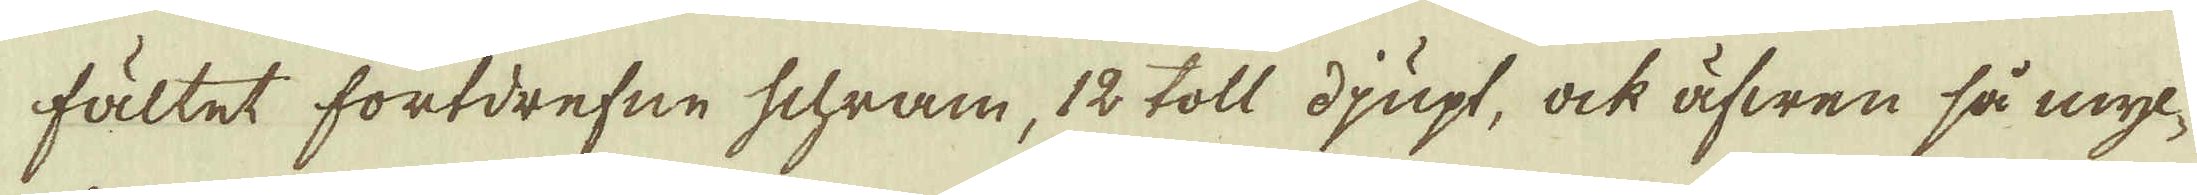fältet fortdrefne schram, 12 toll djupt, ock äfwen så myc-
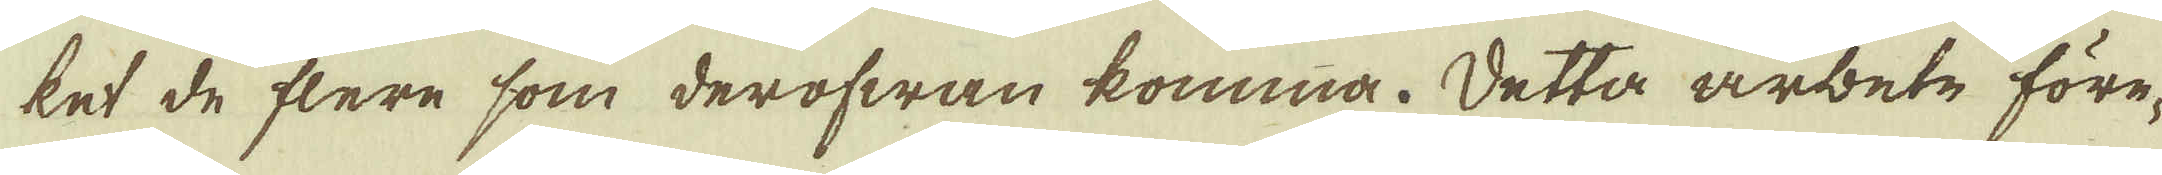ket de flere som derofwan komma. Detta arbete före-
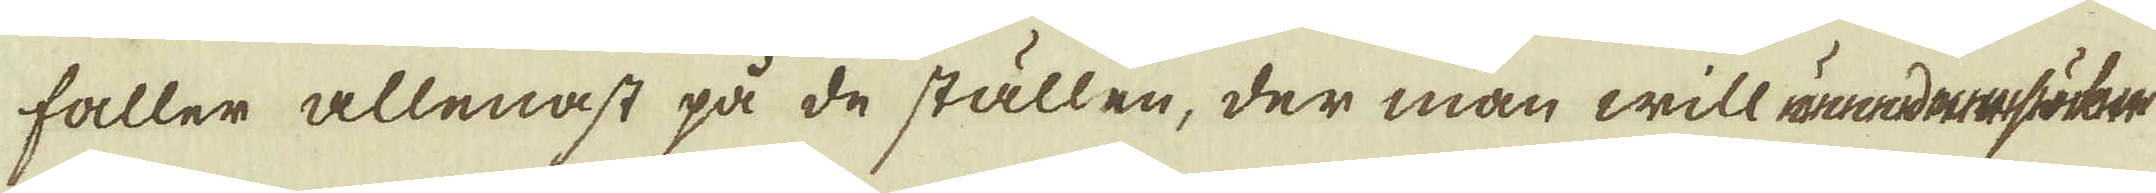faller allenast på de ställen, der man will unendensöker
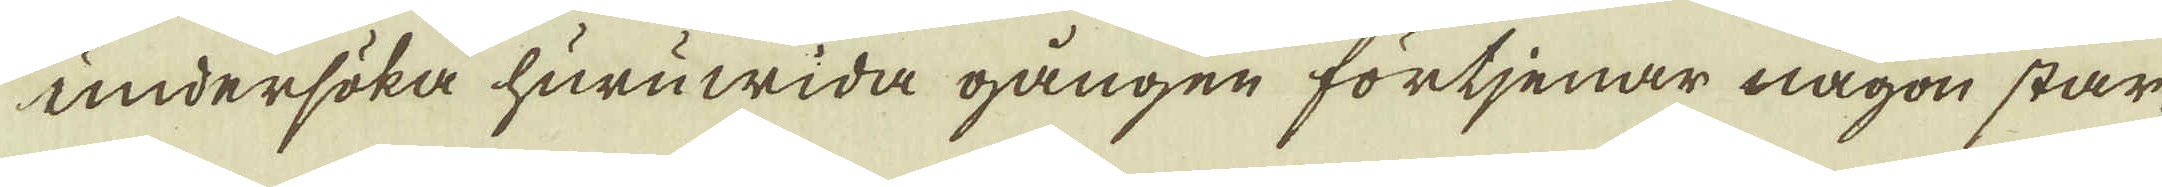undersöka huruwida gången förtjenar någon star-
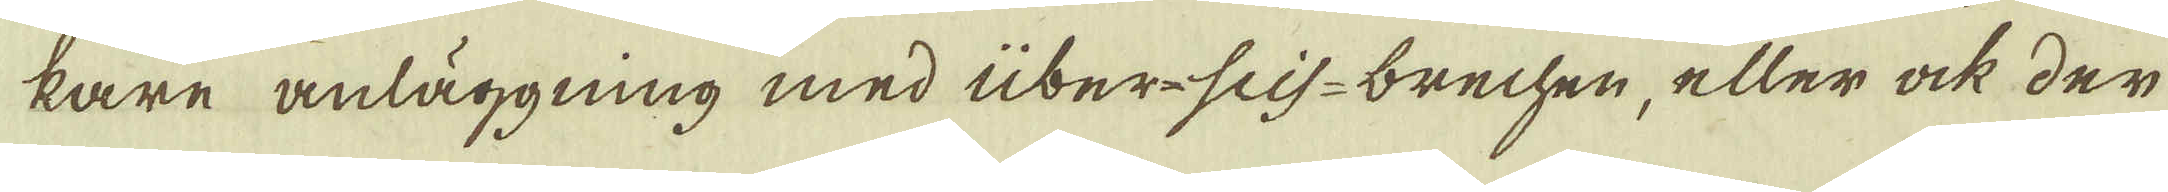kare anläggning med über-scis- brechen, eller ock der
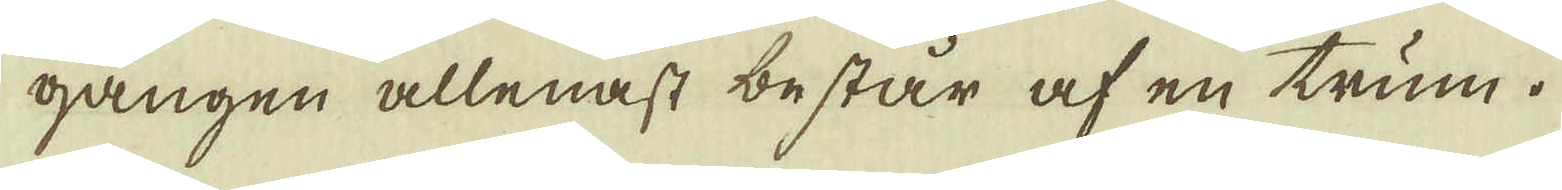gången allenast består af en trum.
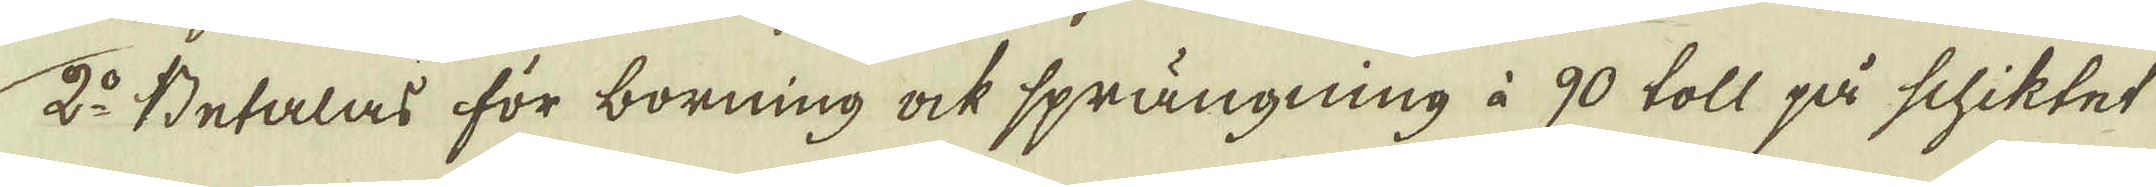2:o Betalas för borning ock sprängning à 90 toll på schiktet
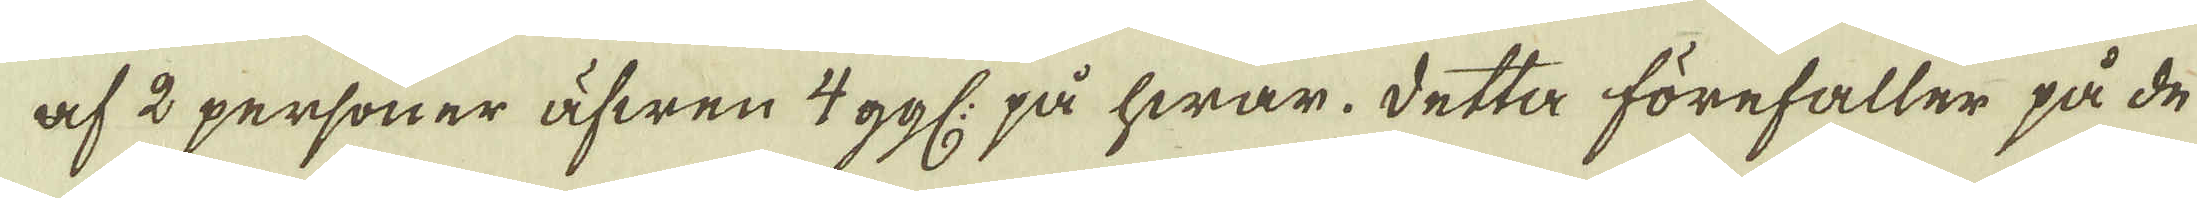af 2 personer äfwen 4 ggl: på hwar. Detta förefaller på de
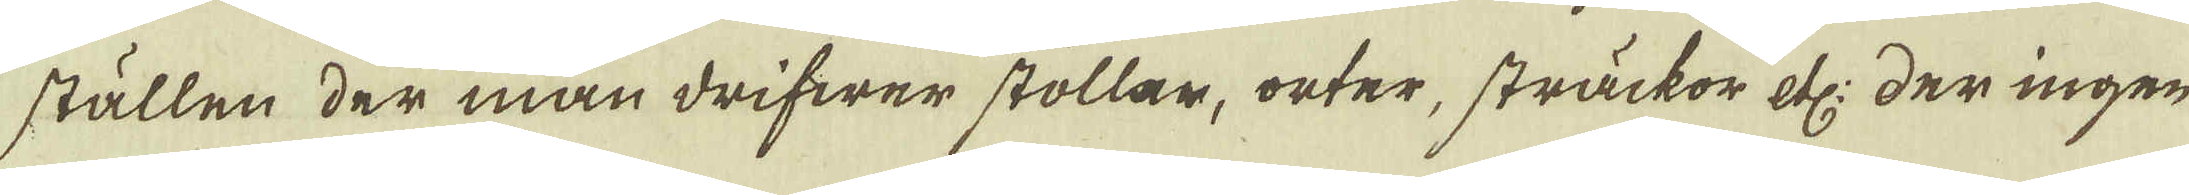ställen der man drifwer stollar, orter, sträckor etc: der ingen
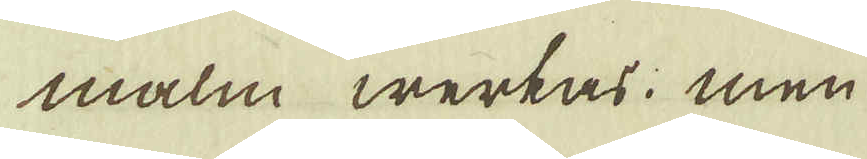malm werkas; men
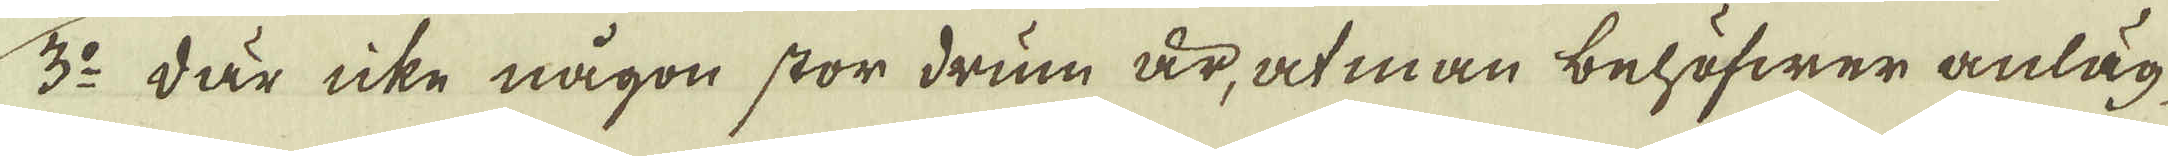3:o där icke någon stor drum är, at man behöfwer anläg-
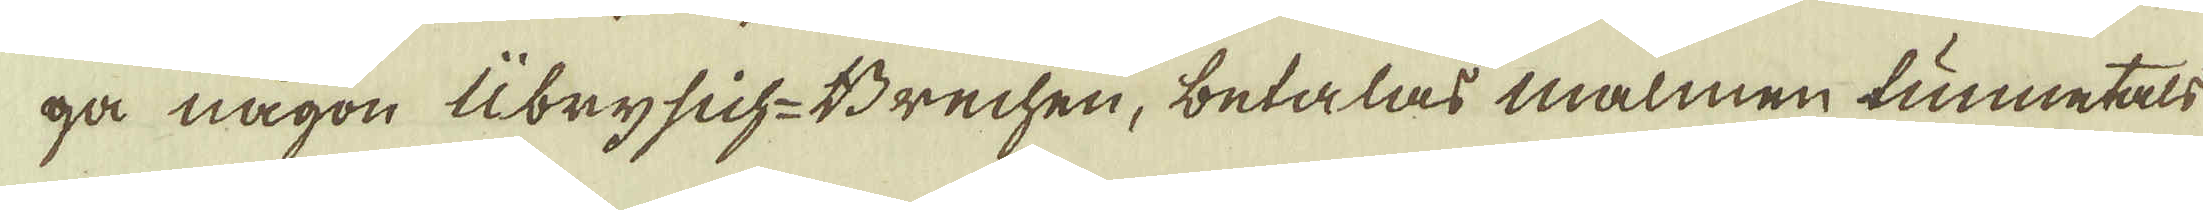ga någon Übrysich-Brechen, betalas malmen tunnetals
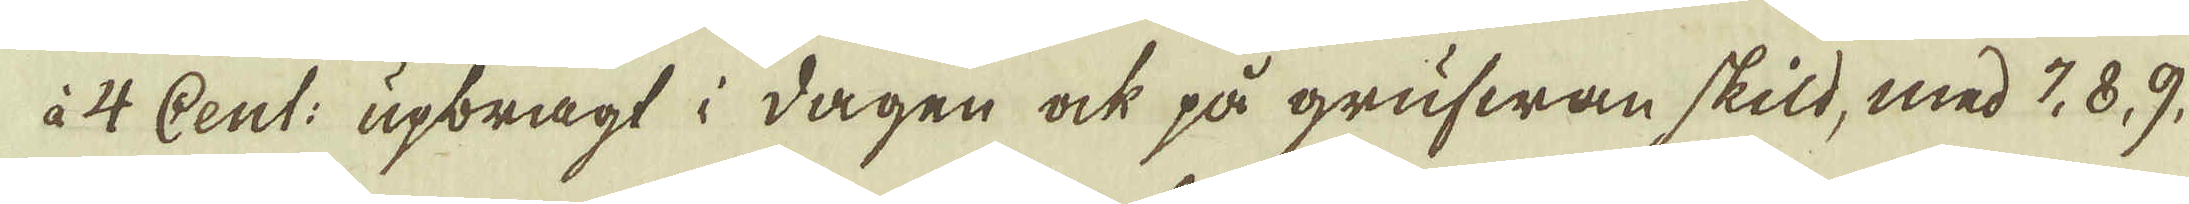à 4 Cent: upbragt i dagen ock på grufwan skild, med 7, 8, 9.
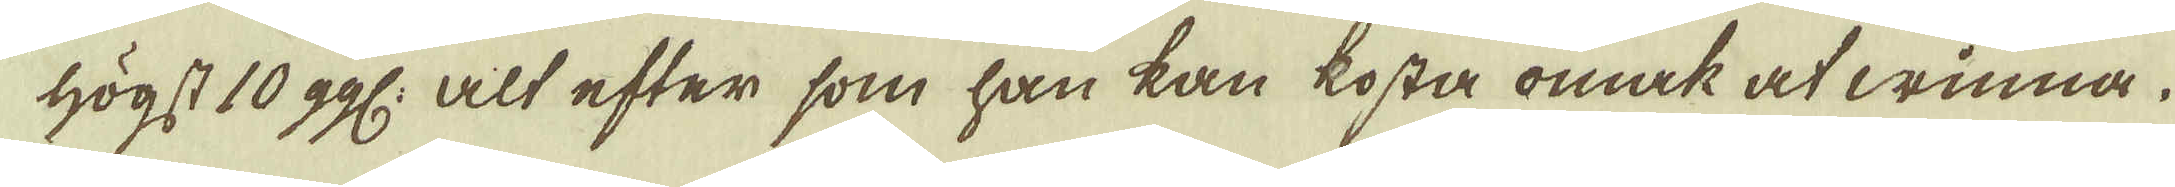högst 10 ggl: alt efter som han kan kosta omak at winna.
